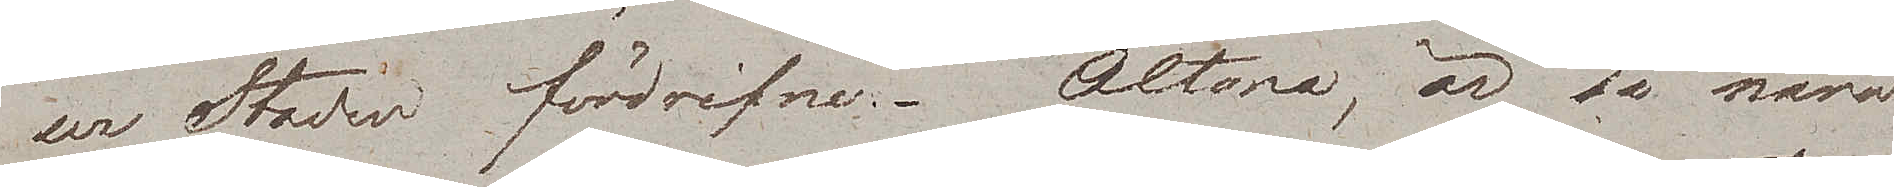ur Staden fördrifne. Altona, är så nära
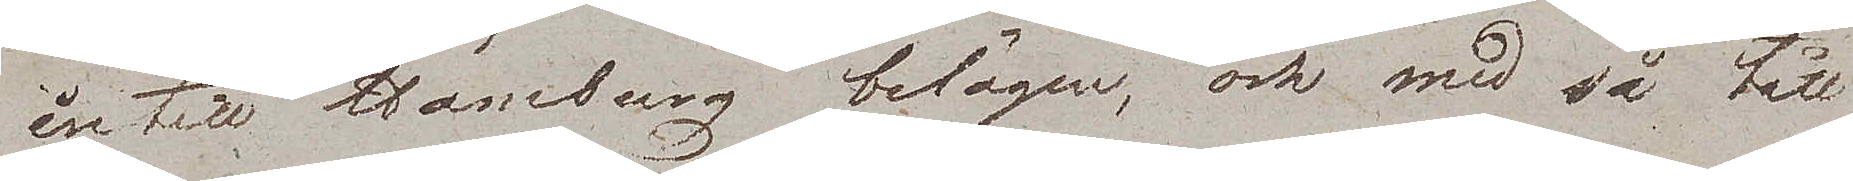intill Hamburg belägen, och med så tätt
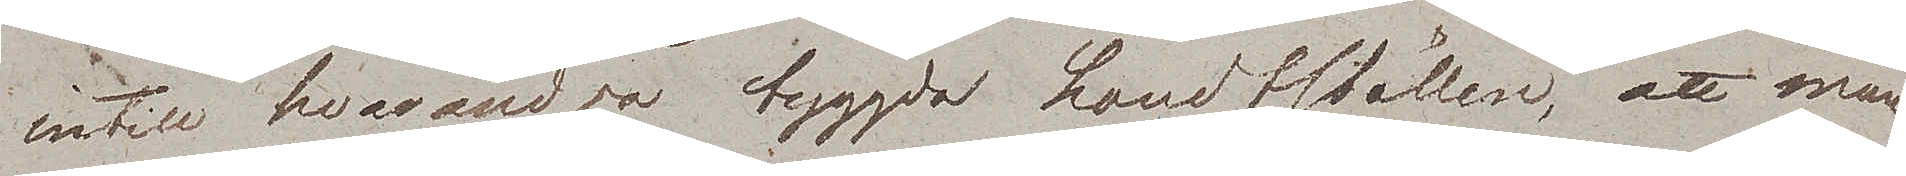intill hvarandra byggda Landtställen, att man
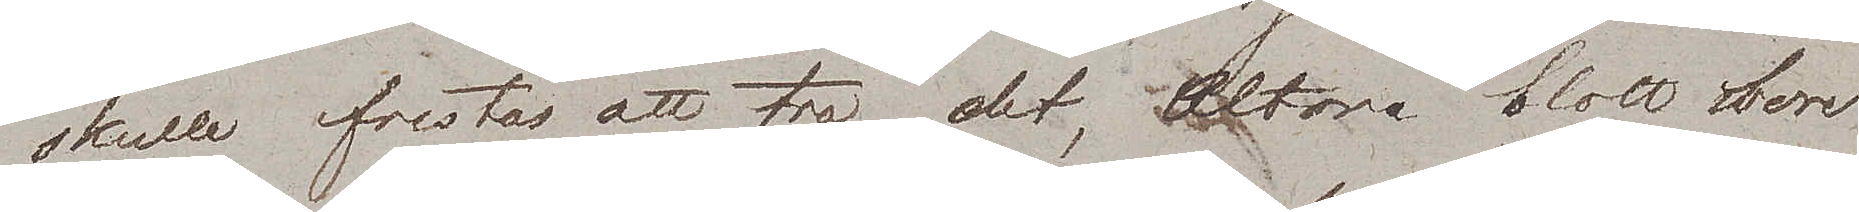skulle frestas att tro, det Altona blott hvore
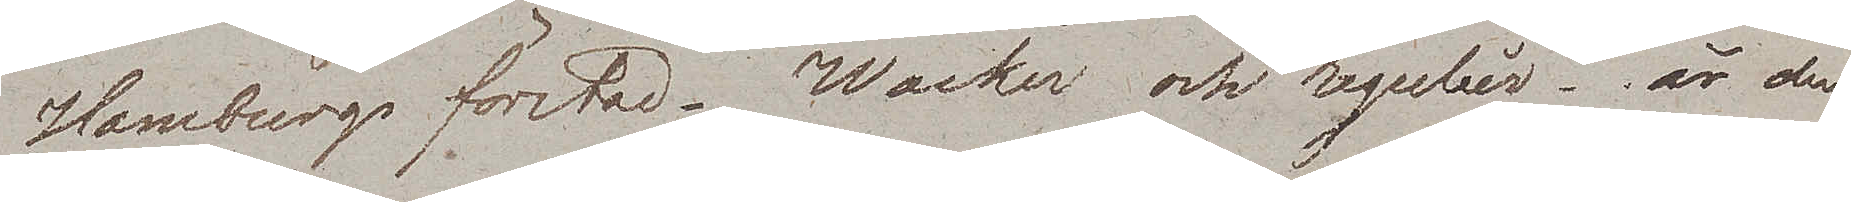Hamburgs förstad. Wacker och regulièr, är den
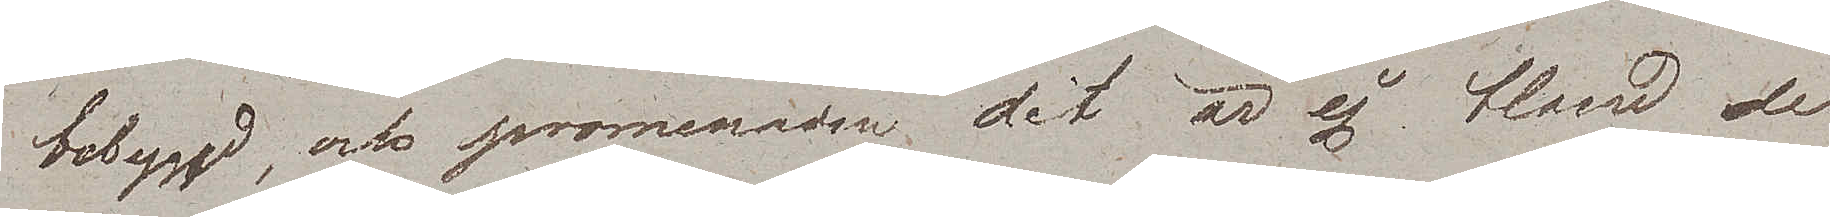bebyggd, och promenaden dit är ej bland de
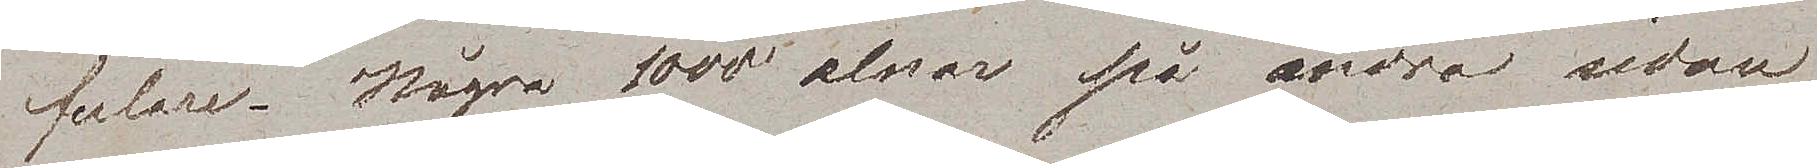fulare. Några 1000 alnar på andra sidan
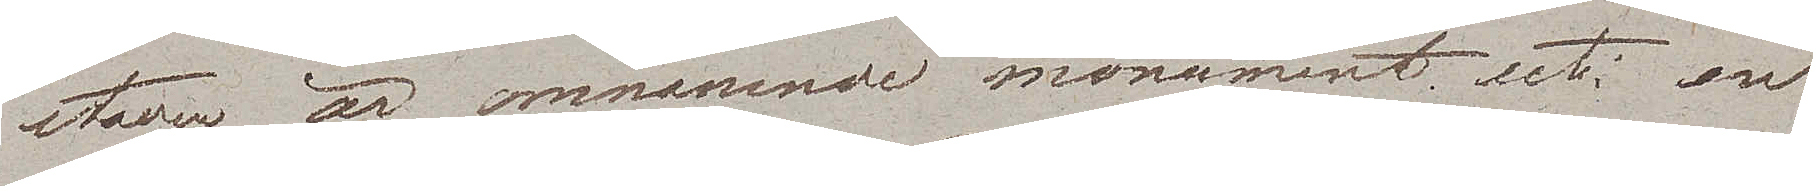staden är omnämnde monument uti en
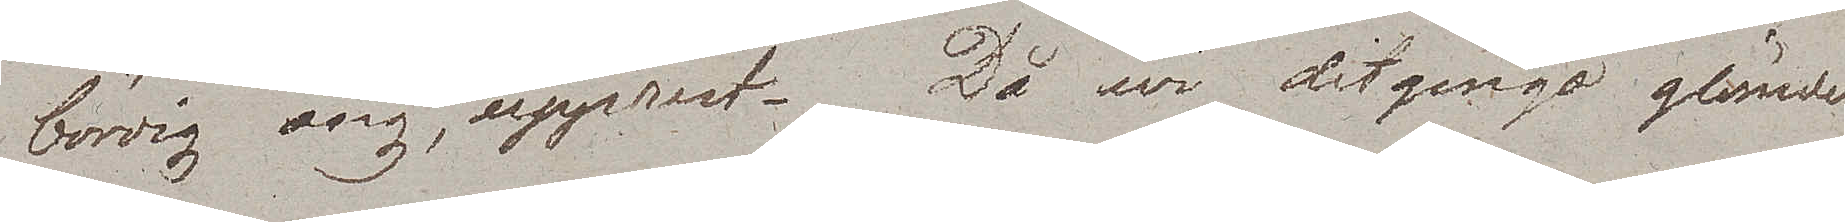bördig äng, upprest. Då wi ditgingo glömde
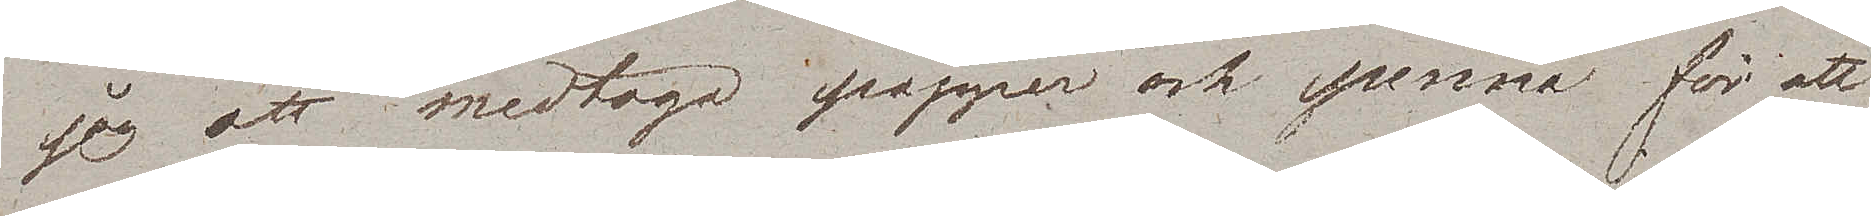jag att medtaga papper och penna för att
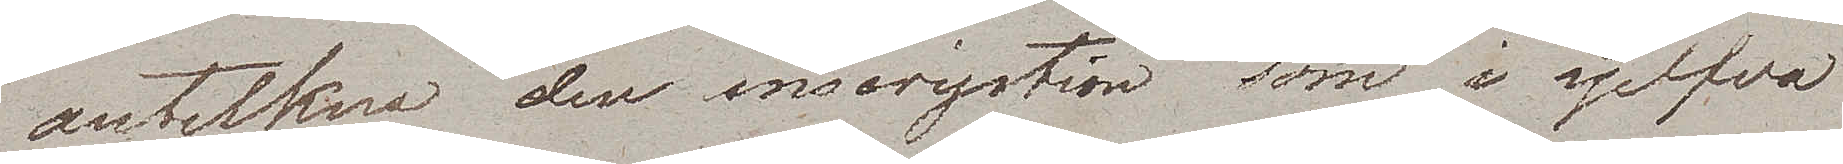anteckna den inscription som i sjelfva
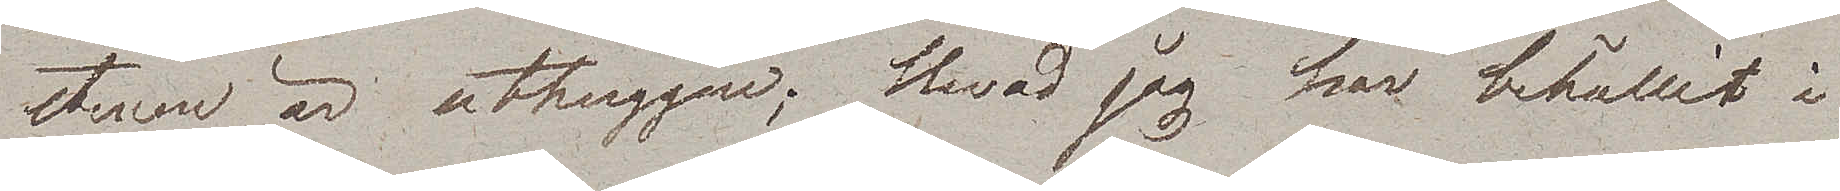stenen är uthuggen; Hvad jag har behållit i
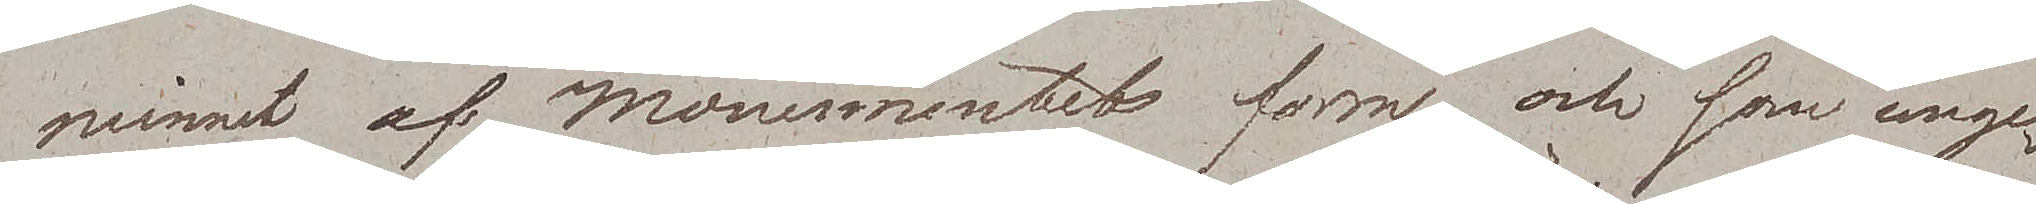minnet af Monumentets form och som unge¬
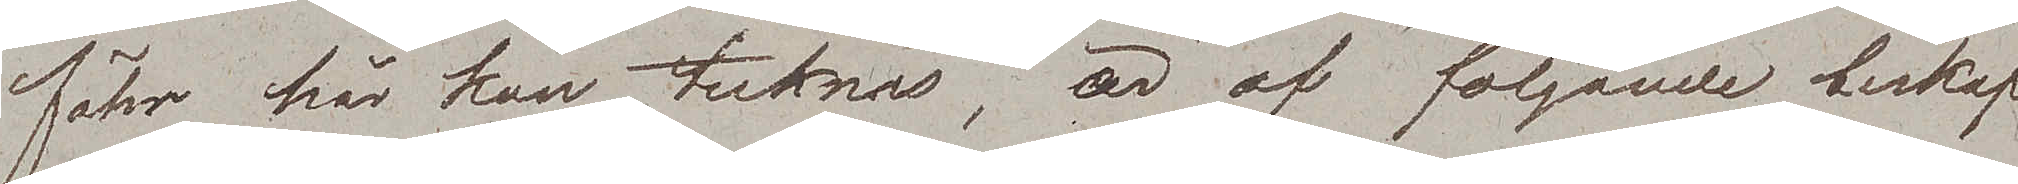fähr här kan tecknas, är af följande beskaf¬
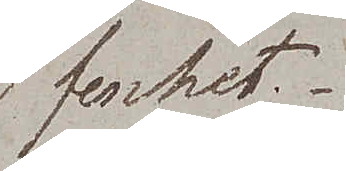fenhet.
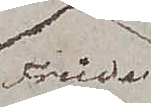Friede
